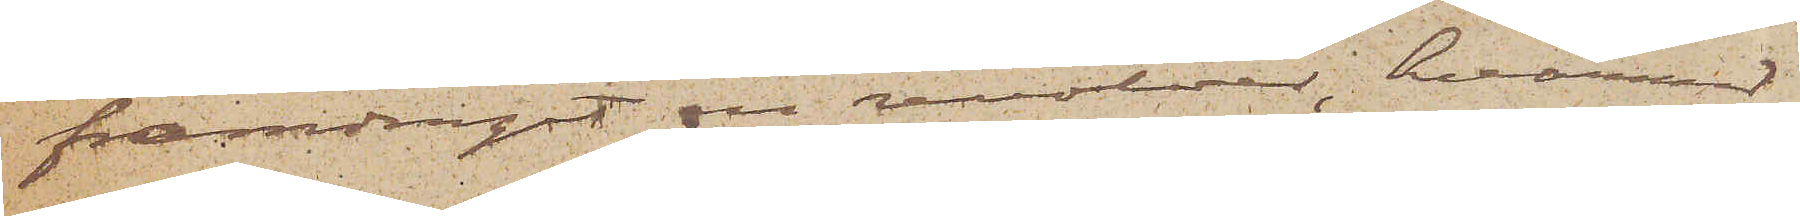framdragit en revolver, hvarvid
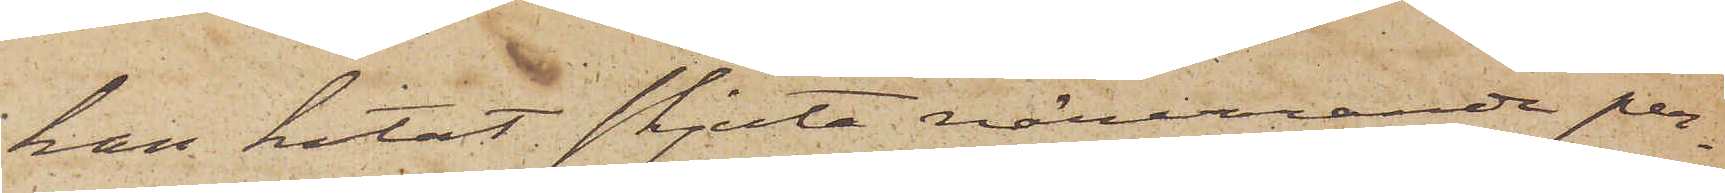han hotat skjuta närvarande per¬
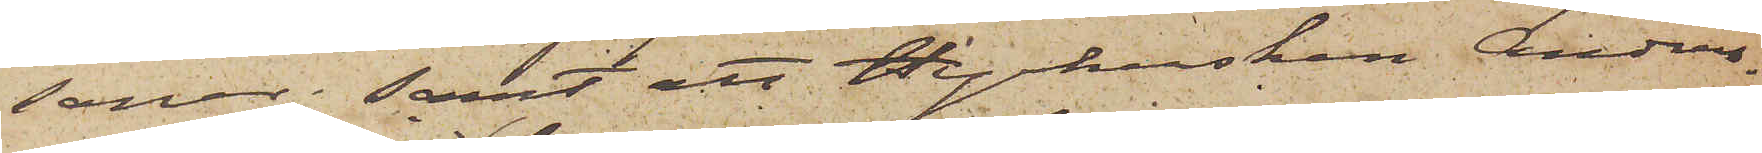soner; samt att Hyrkusken Anders¬
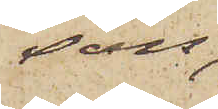son,
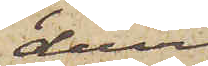dervid
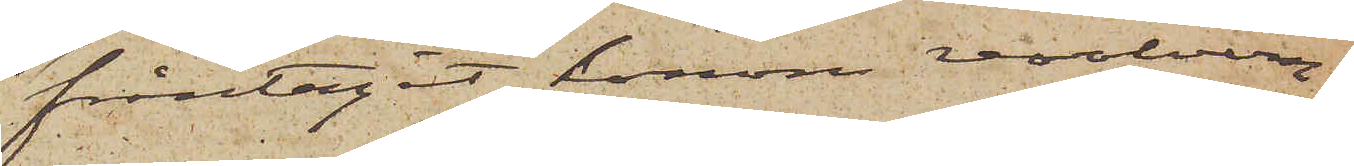fråntagit honom revolvern,
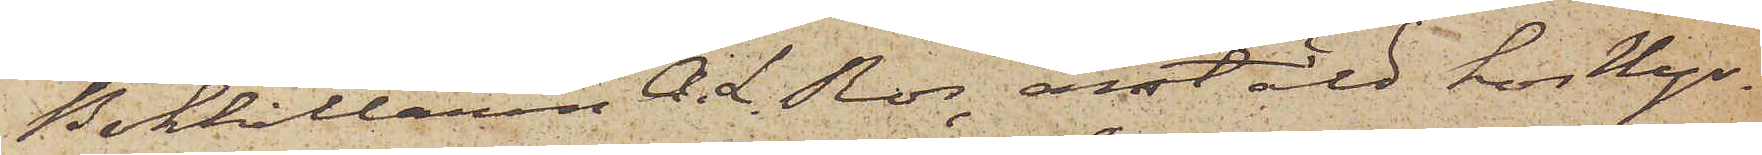Bokhållaren A. L. Ros, anstäld hos Hyr¬
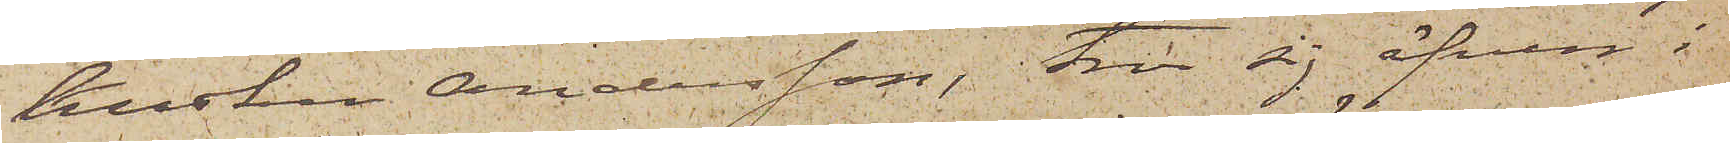kusken Andersson, tror sig äfven i
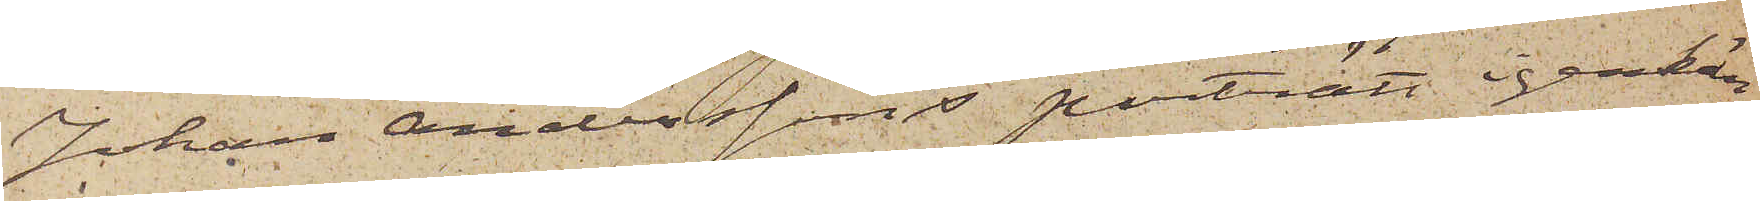Johan Anderssons porträtt igenkän¬
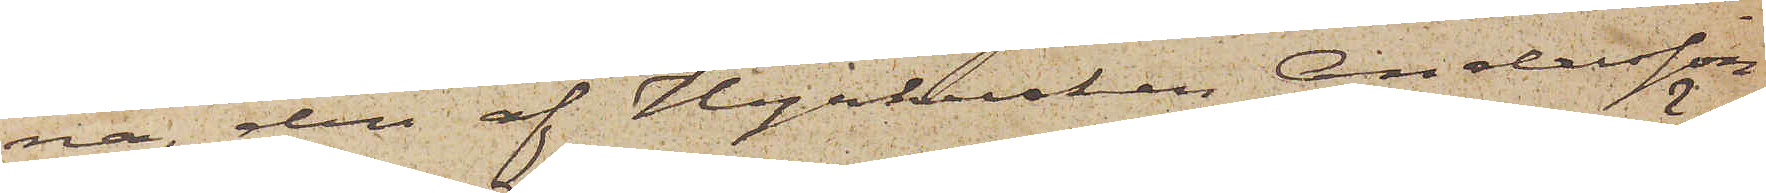na, den af Hyrkusken Andersson
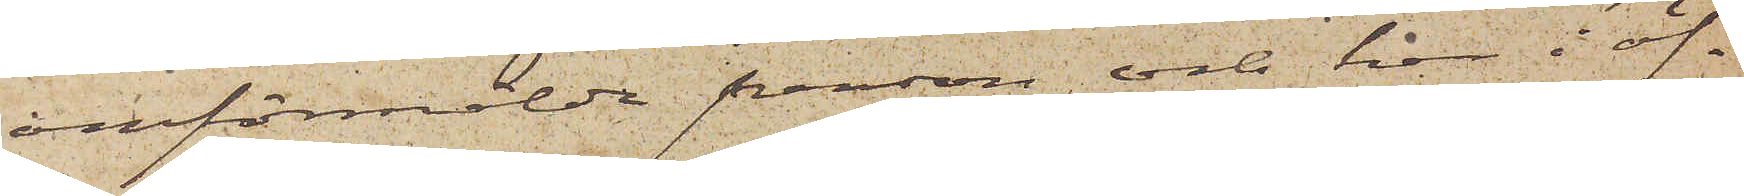omförmälde person och har i öf¬
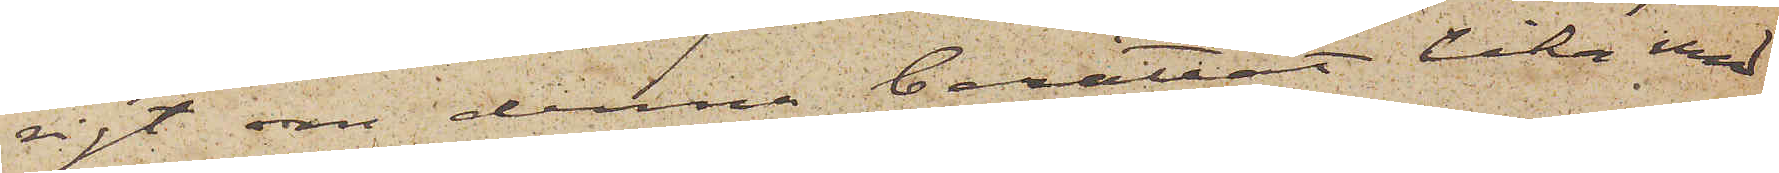rigt om denna berättat lika med
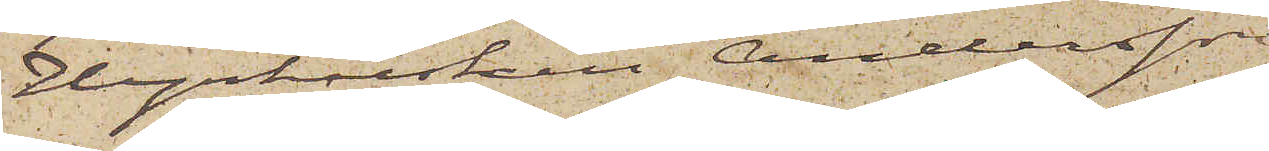Hyrkusken Andersson.
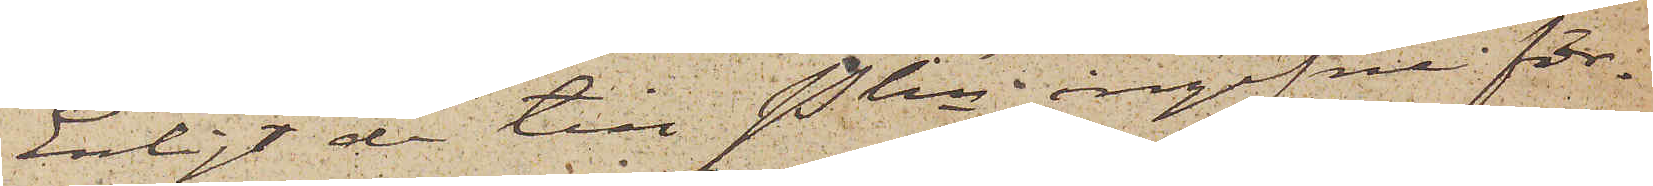Enligt de till Pkn ingifne för¬
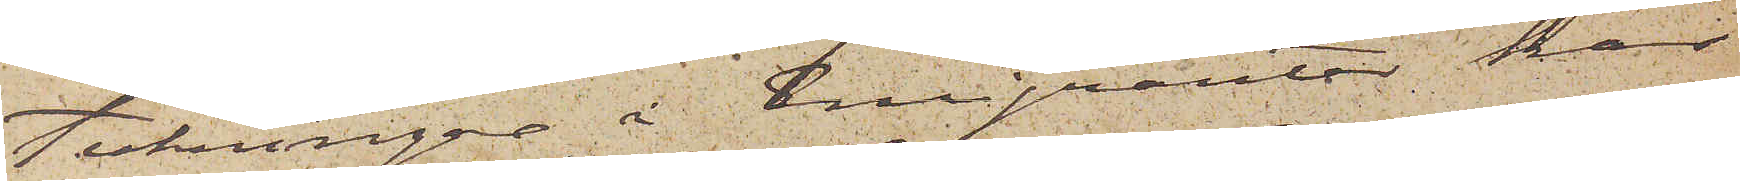teckningar å Emigranter har
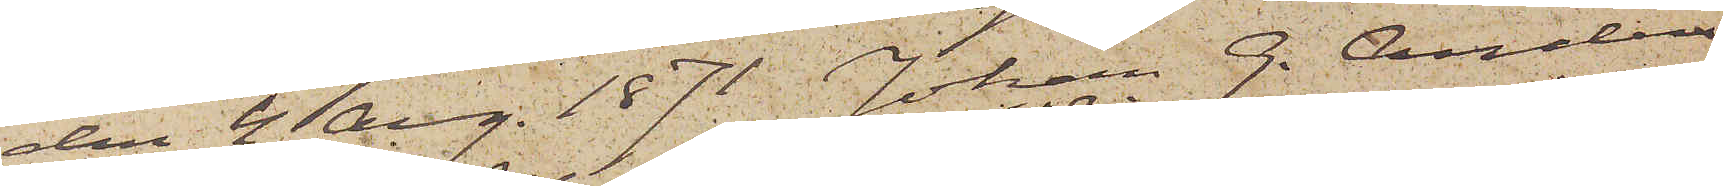den 4 Aug. 1871. Johan G. Anders¬
